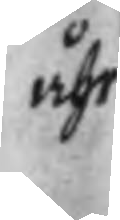åhr
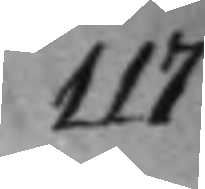117
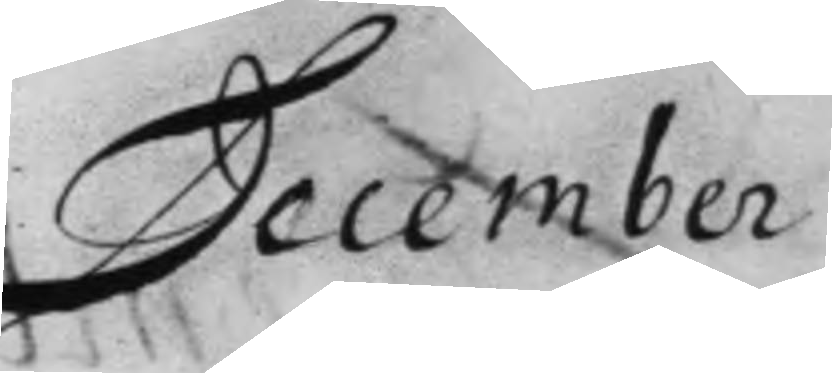December
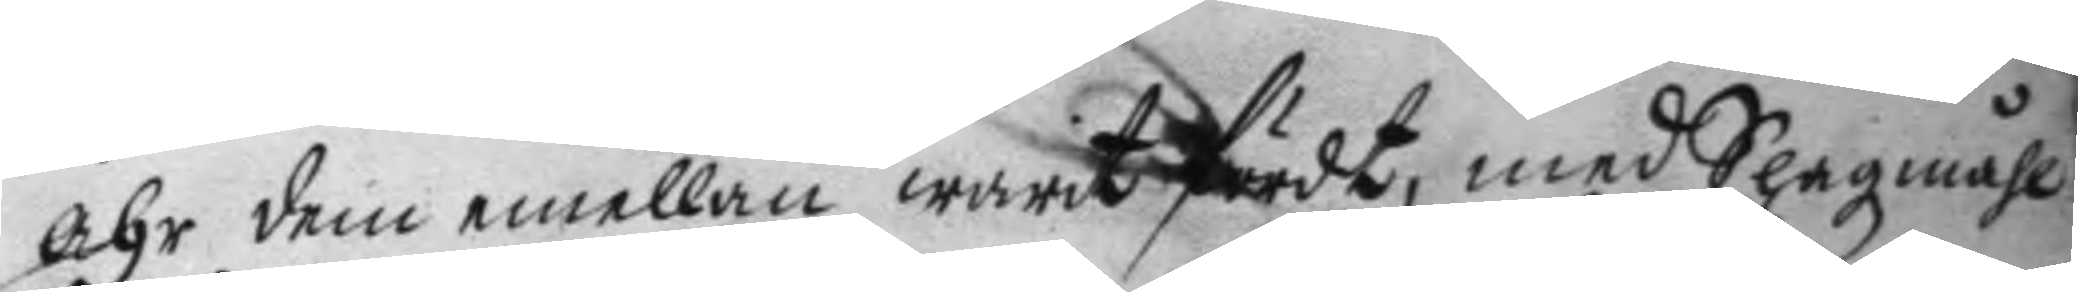åhr dem emellan warit fördt, med Slagzmåhl
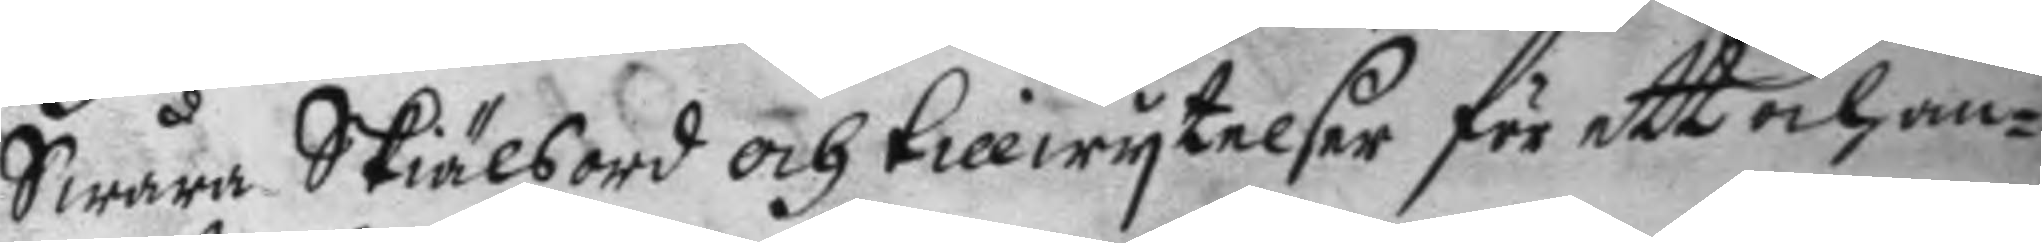Swåra Skiälsord och tillwytelser för att och an¬
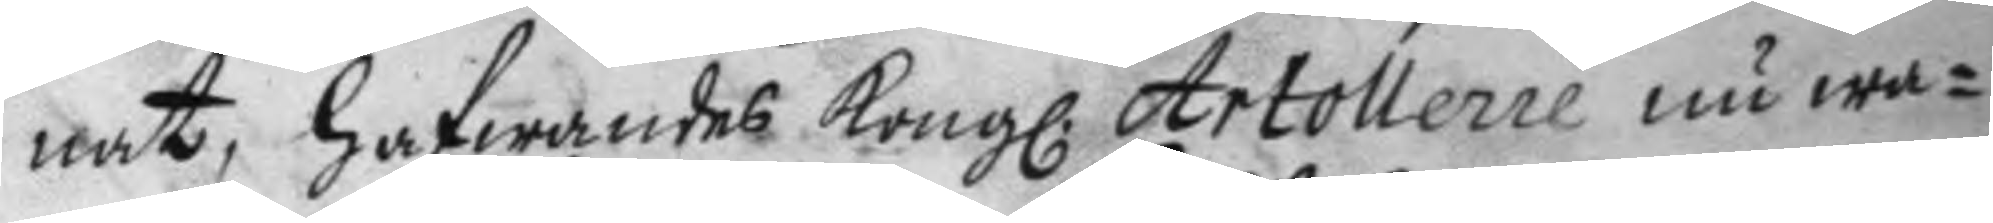nat, hafwandes Kong. Artollerie nu wa¬
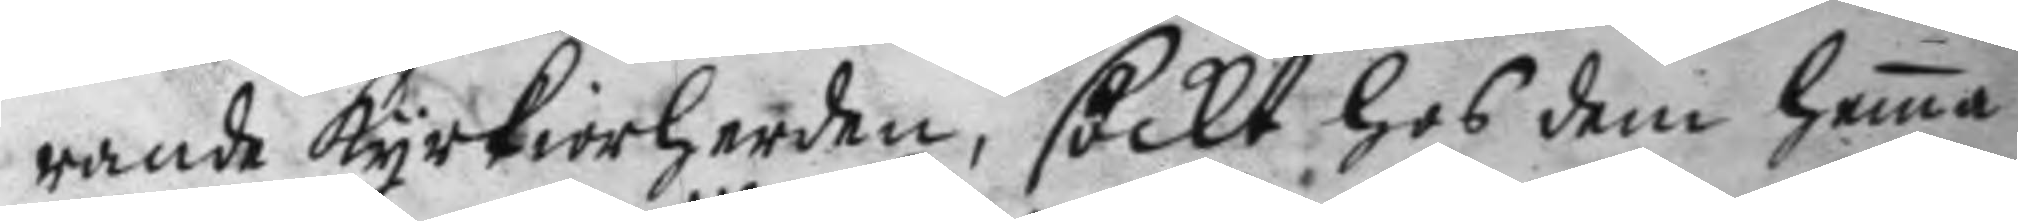rande kyrkiorherden, söckt hos dem hema
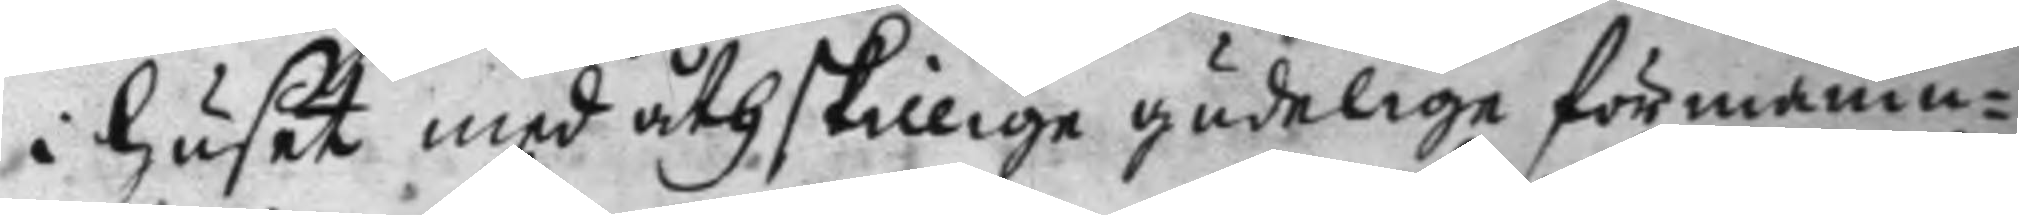i huset med åthskillige gudelige förmanin¬
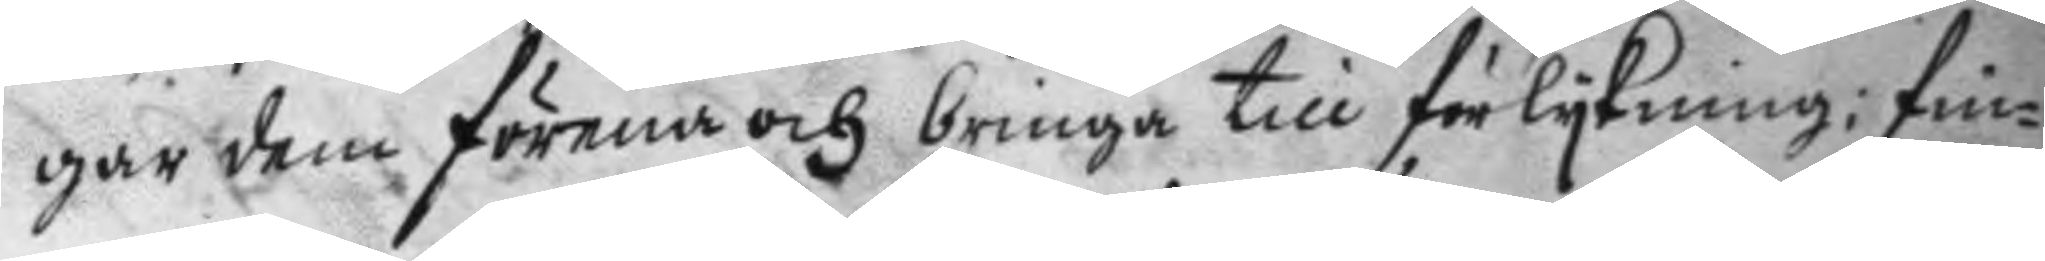gar dem förena och bringa till förlykning: fin¬
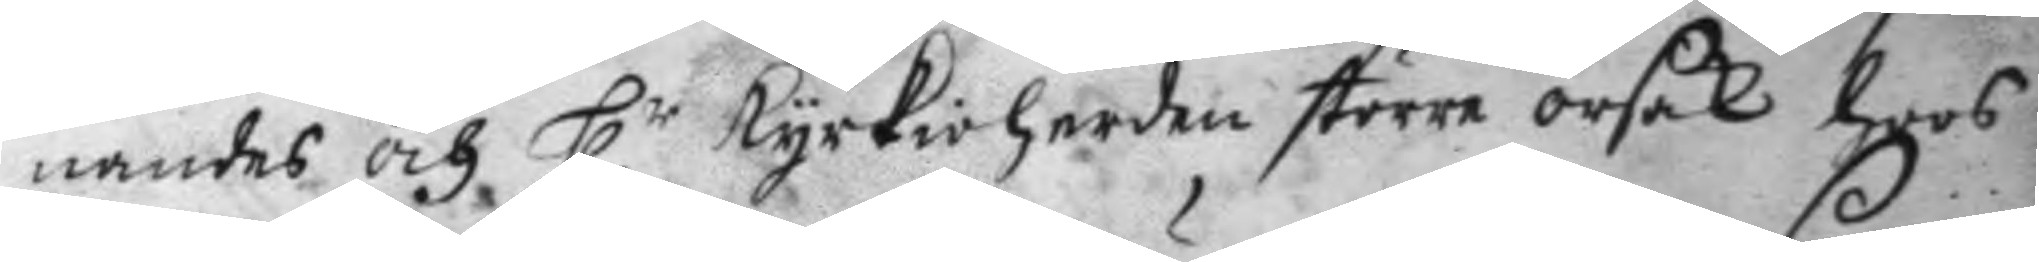nandes och H.r kyrkioherden större orsak hoos
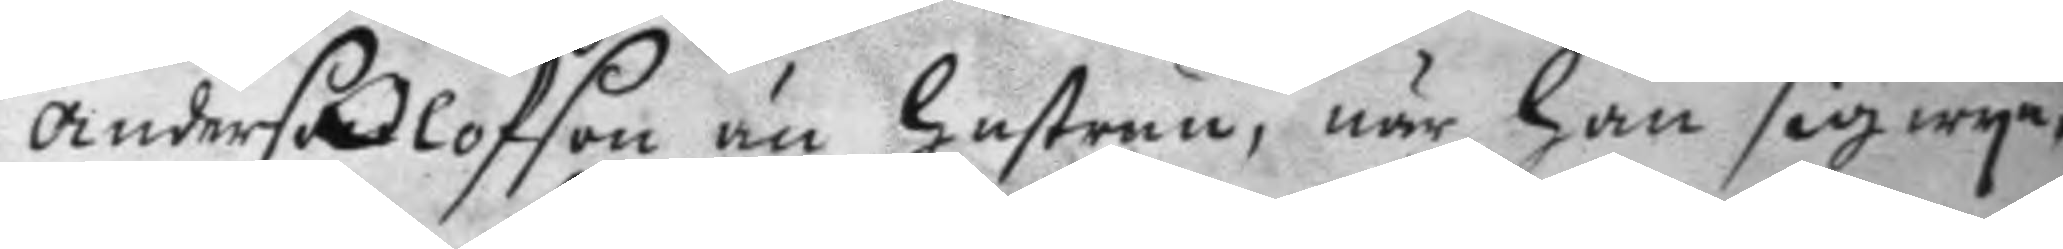anders Olofson nu hustrun, när han sig wy¬
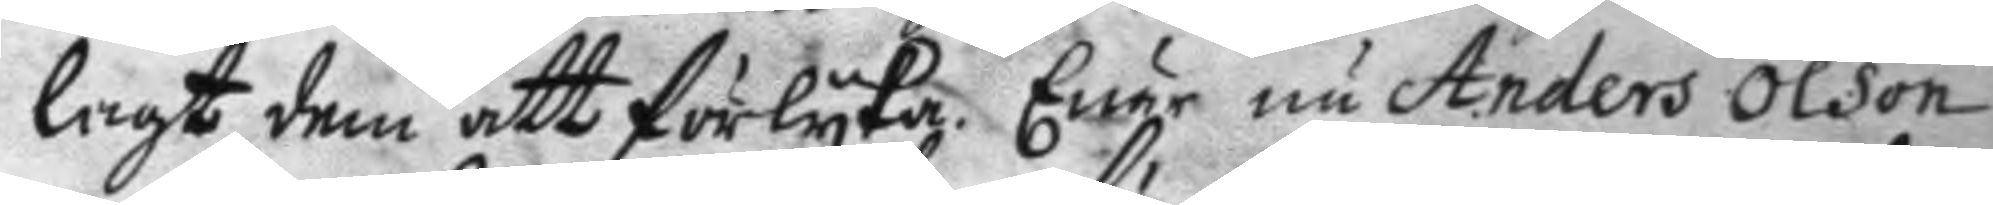lagt dem att förlyka. Enär nu Anders Olson
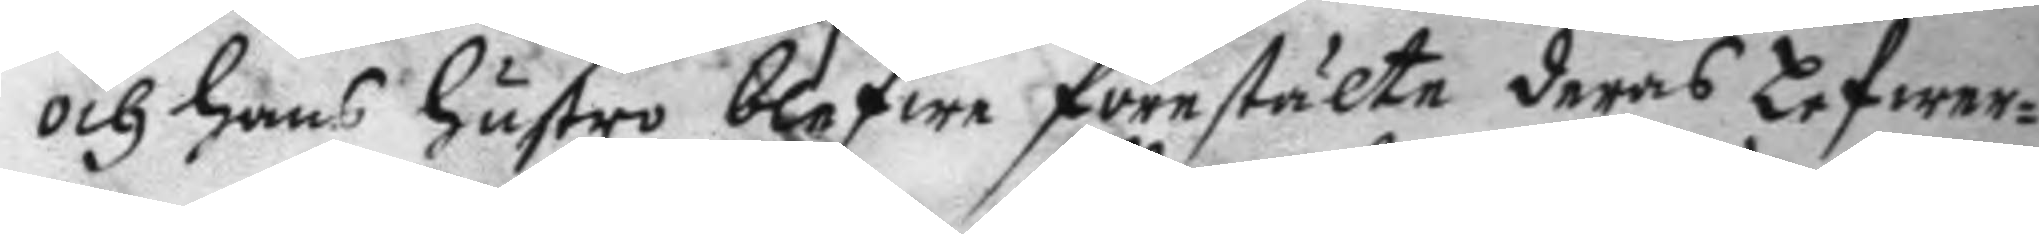och hans hustro blefwe förestälte deras Lefwer¬
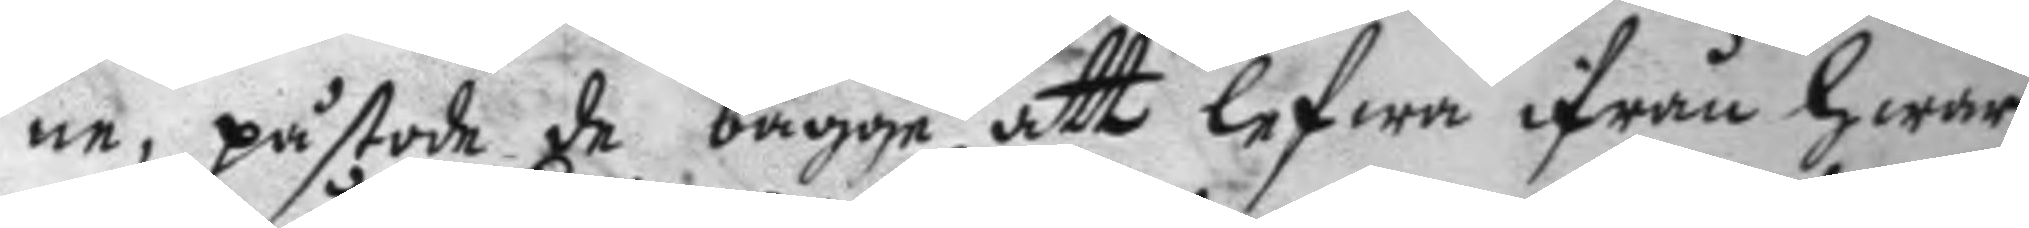ne, påstode de bägge att lefwa ifrån hwar
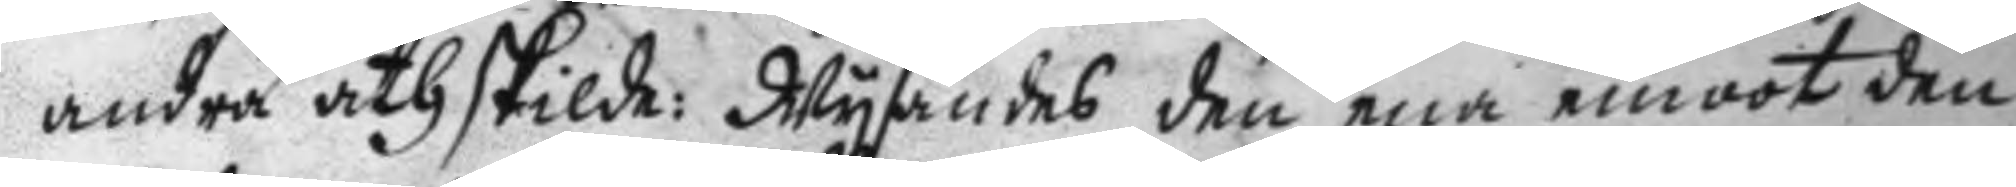andra åthskilda: Wysandes den ena emoot den
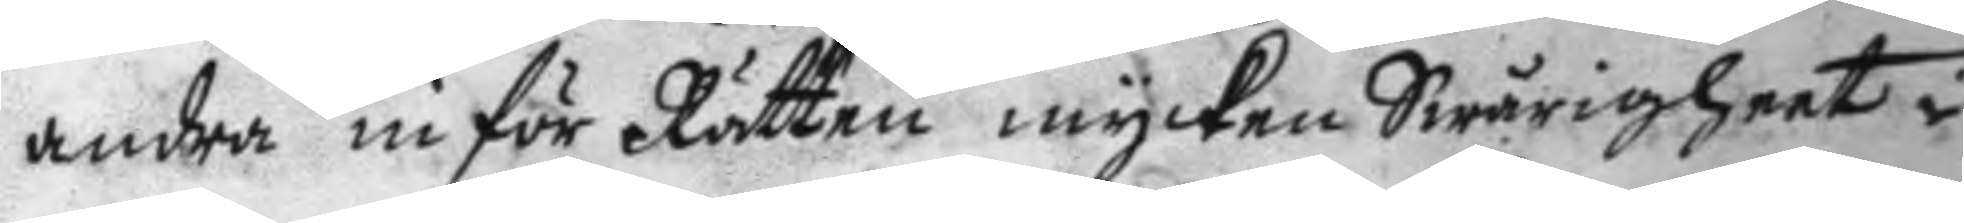andra inför Rätten mycken Swårigheet i
